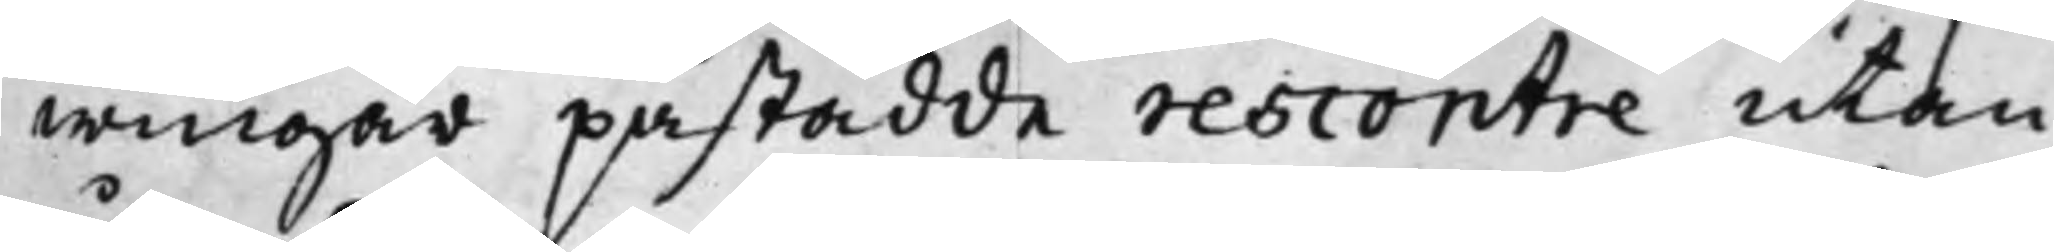wingar påstådde rescontre utan
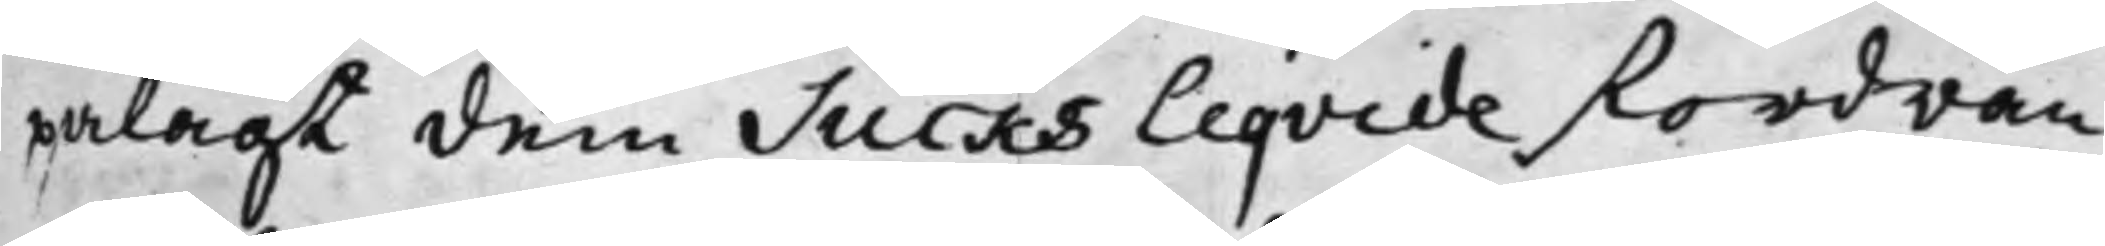pålagt dem Sucks Liqvide fordran
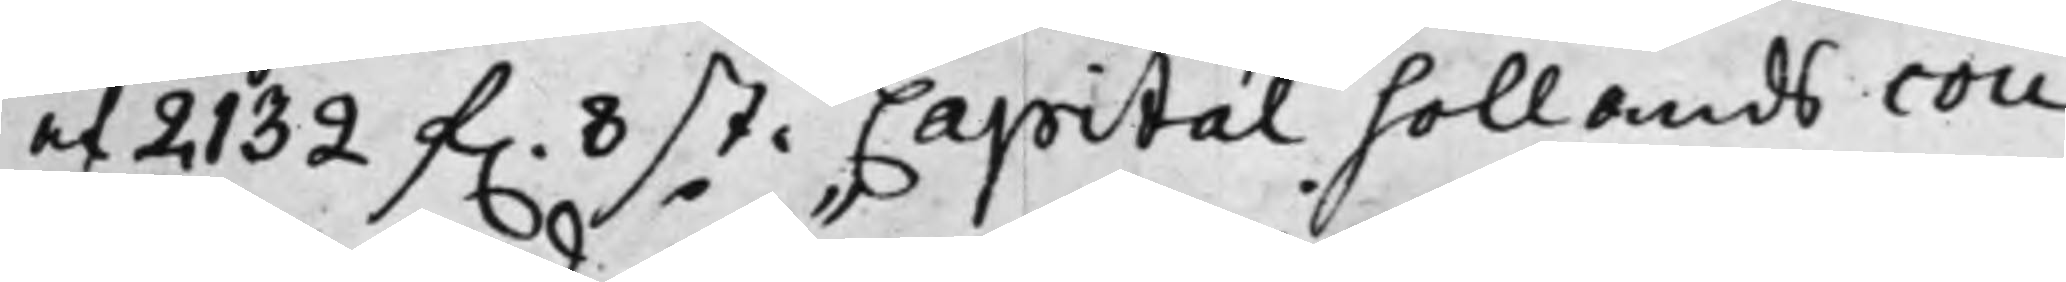af 2132 f. 8 st. Capital hollands cou¬
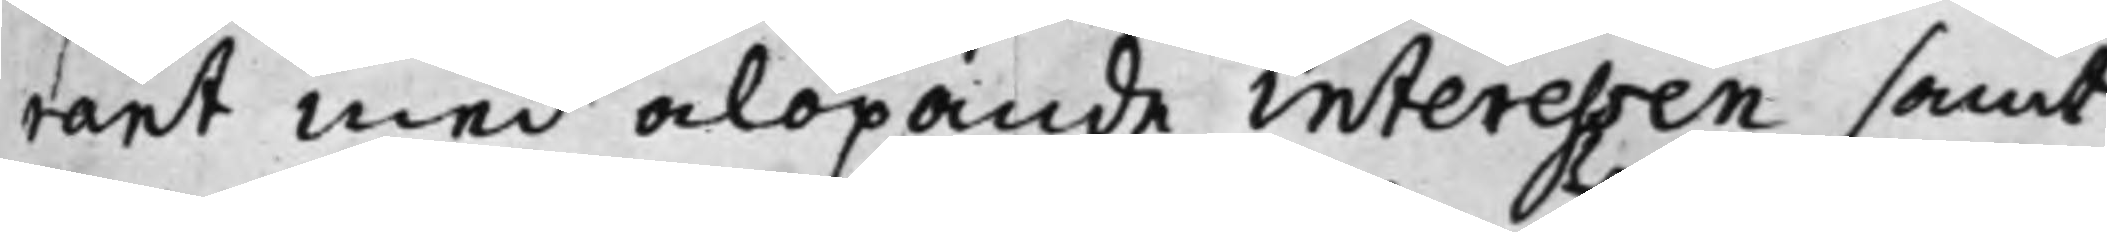rant med ålöpande interessen samt
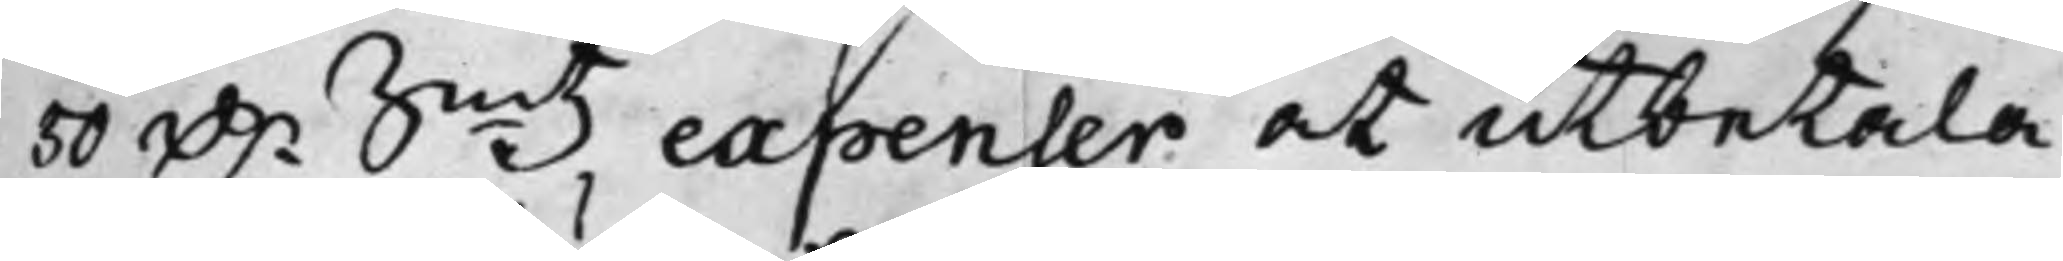50 D.r Smtz expenser at utbetala
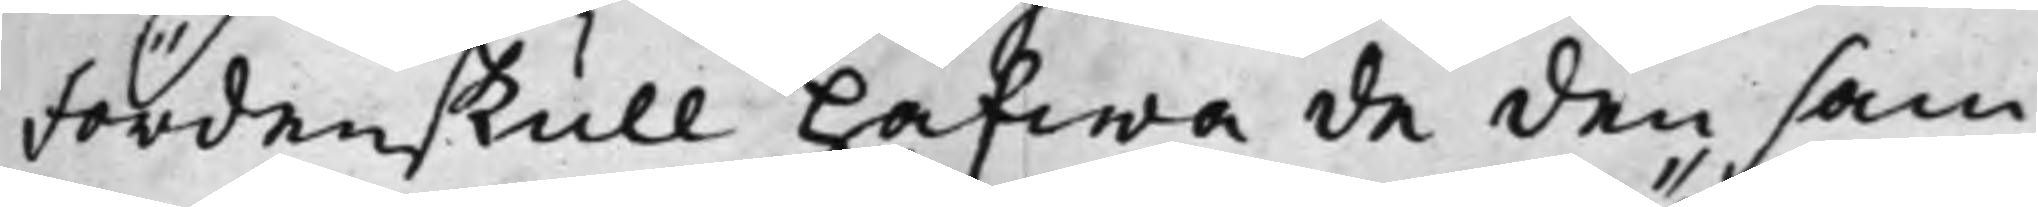Fördenskull hafwa de den sam¬
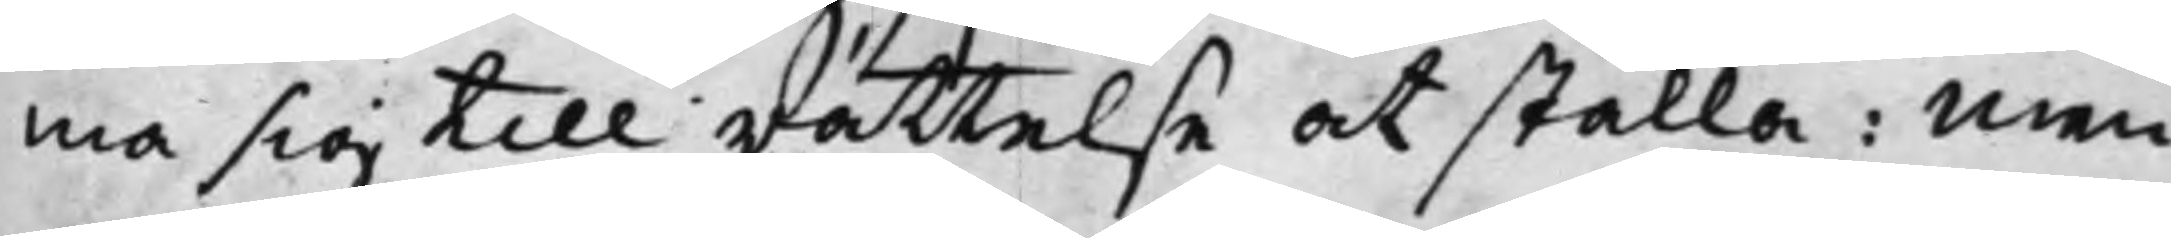ma sig till rättelse at ställa: Men
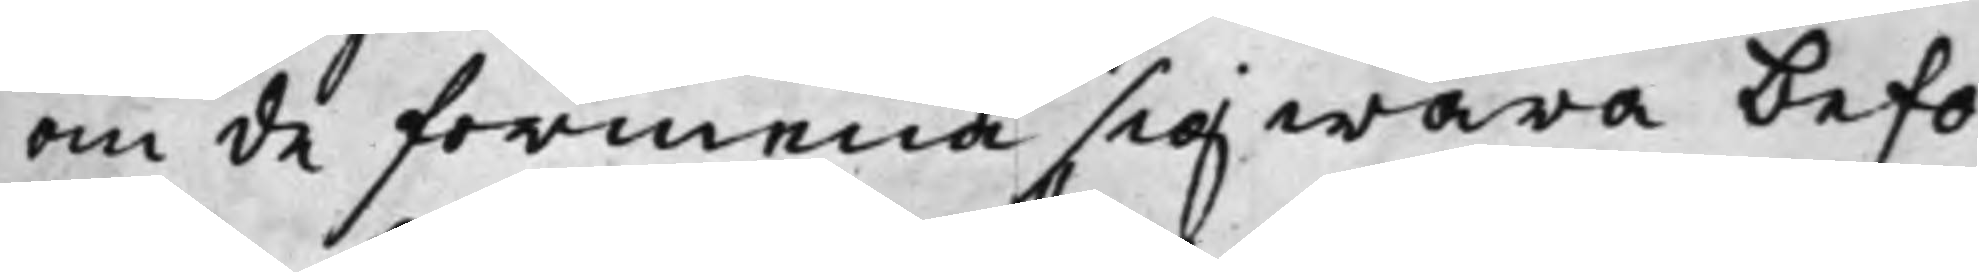om de förmena sig wara befo¬
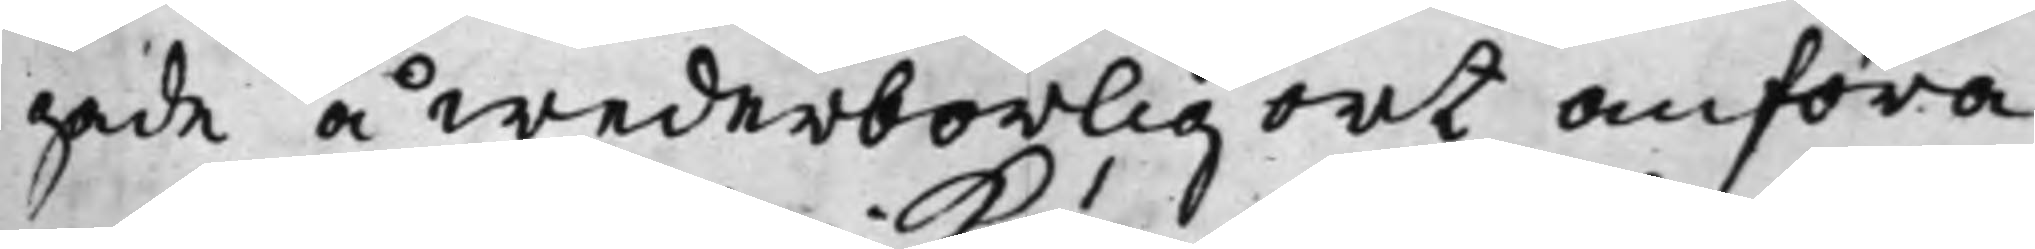gade å wederbörlig ort anföra
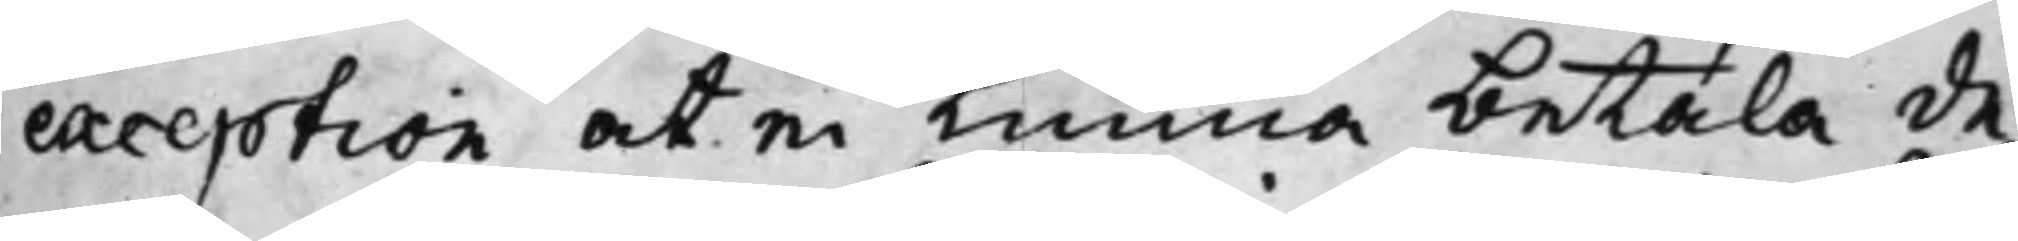exception at ei kunna betala de¬
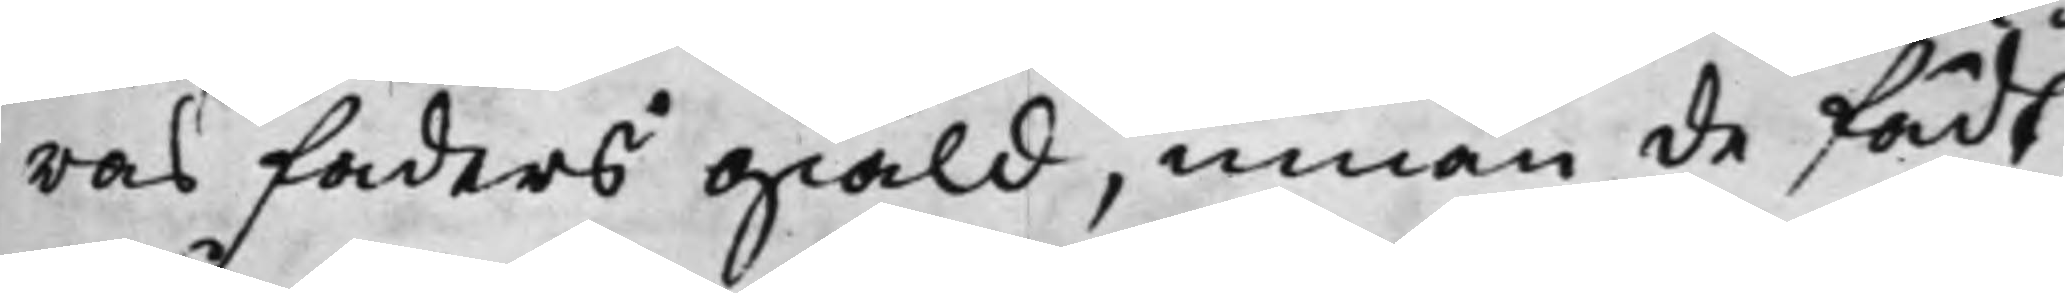ras faders giäld, innan de fådt¬
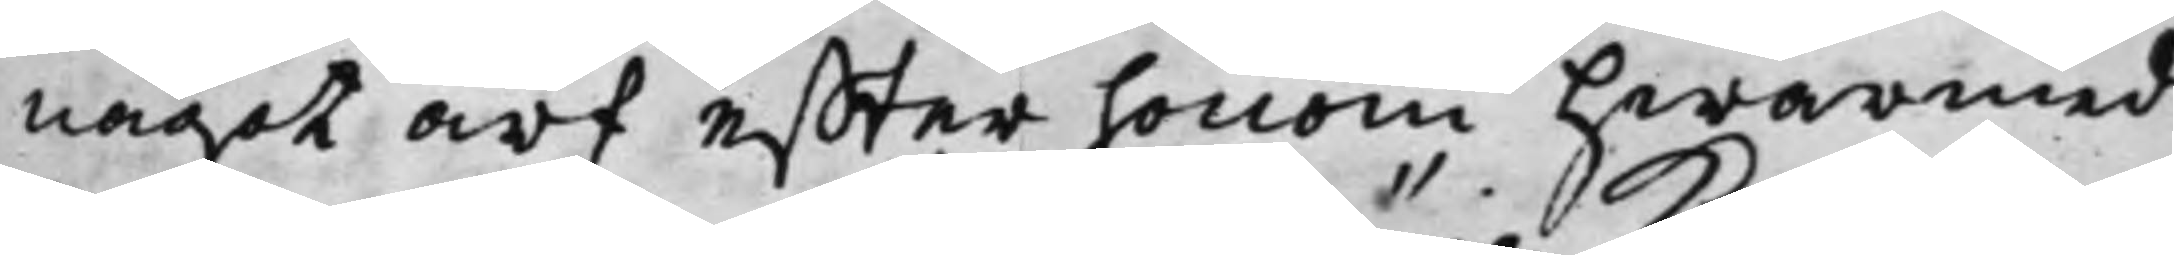något arf effter honom hwarmed
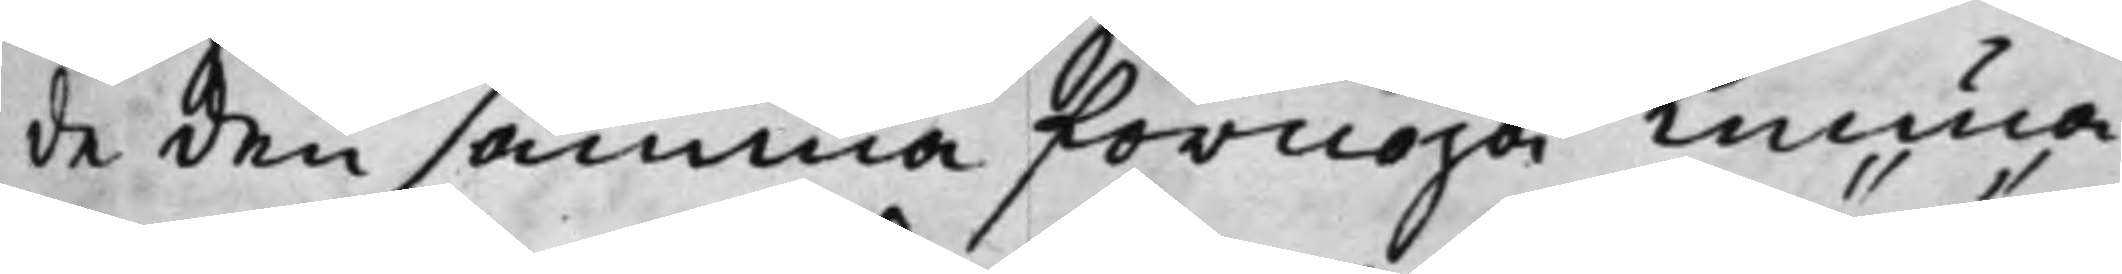de den samma förnöja kunna
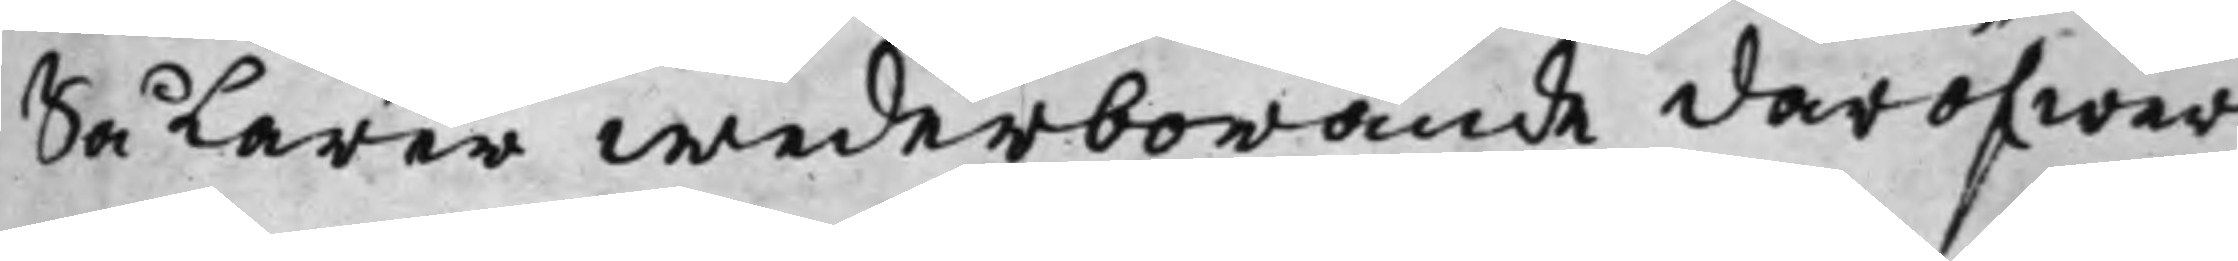Så Lärer wederbörande däröfwer
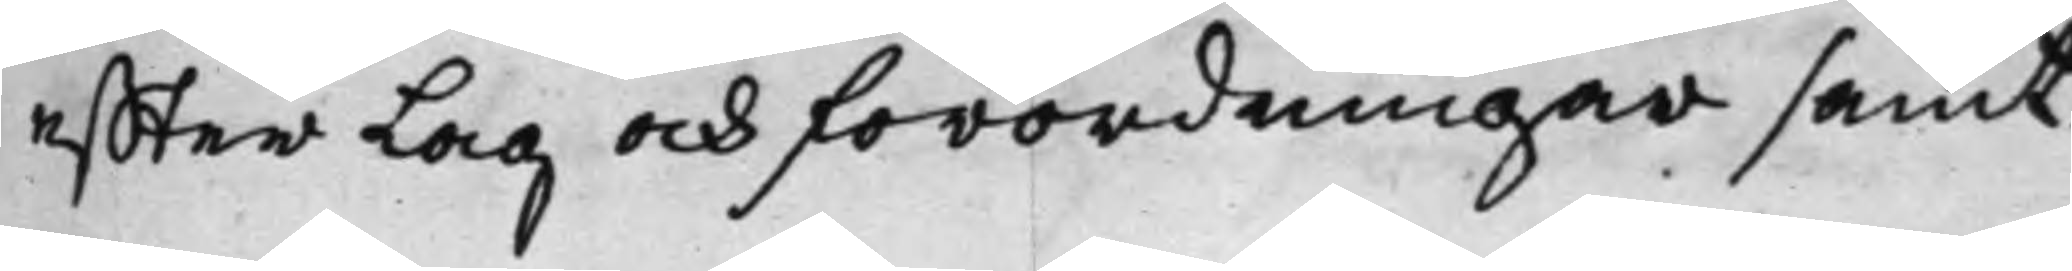effter Lag och förordningar samt
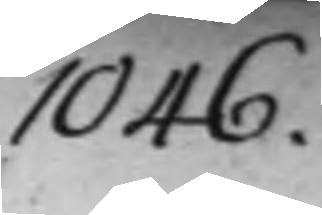1046.
